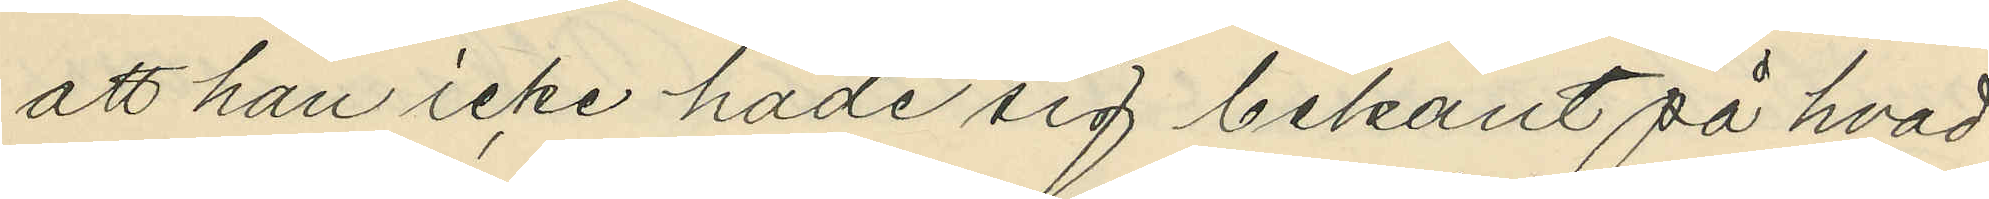att han icke hade sig bekant på hvad
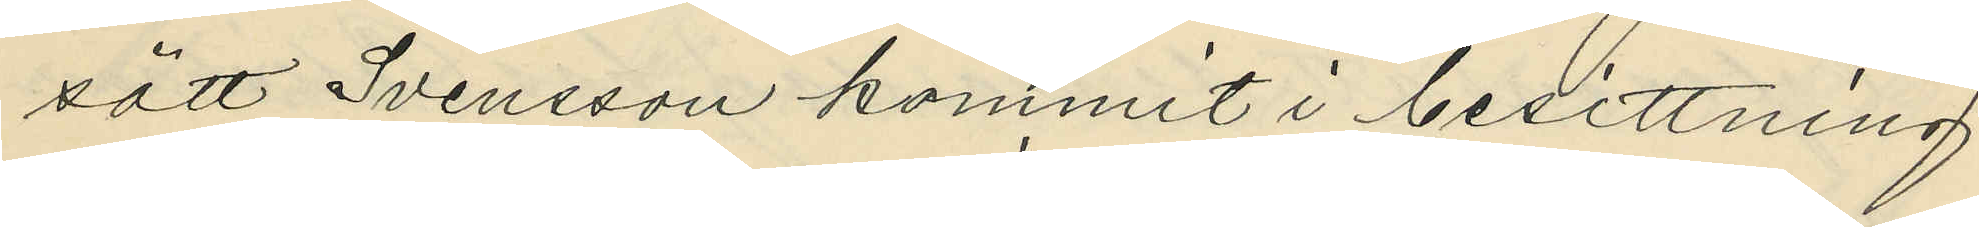sätt Svensson kommit i besittning
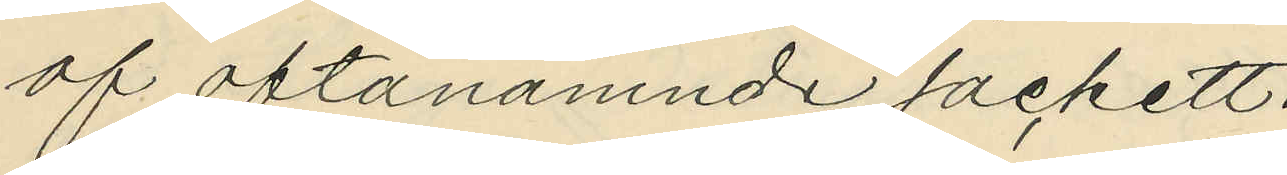af oftanämnde jackett.
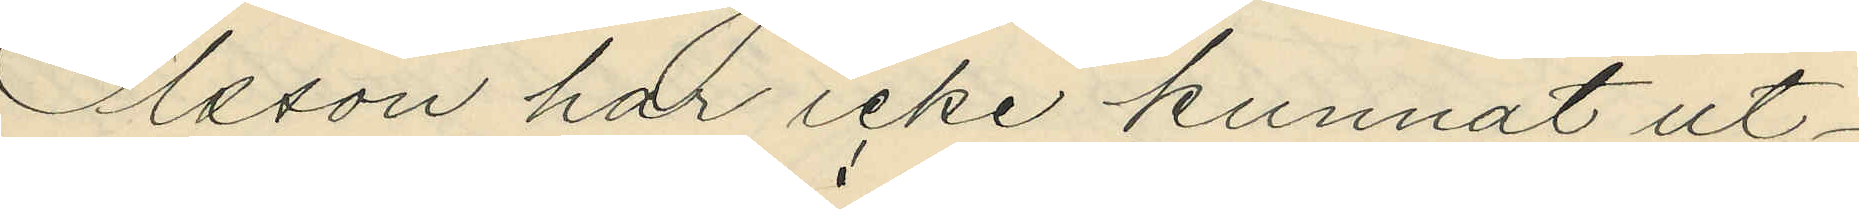Olsson här icke kunnat ut¬
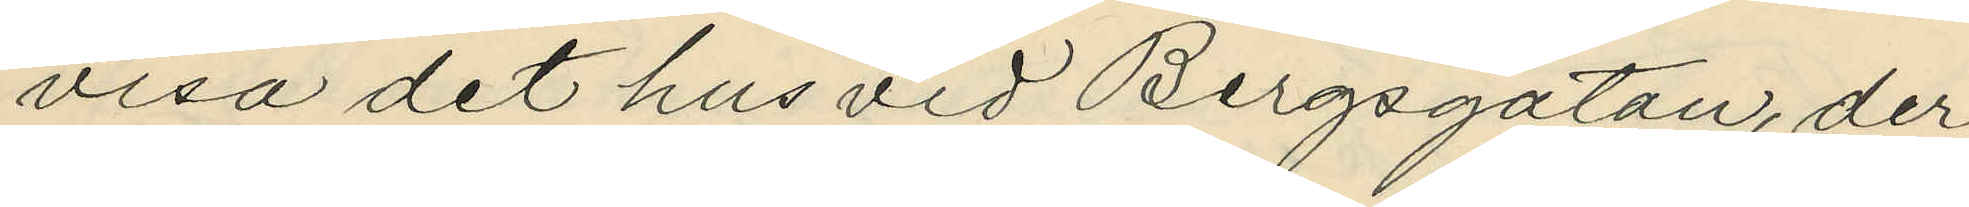visa det hus vid Bergsgatan, der
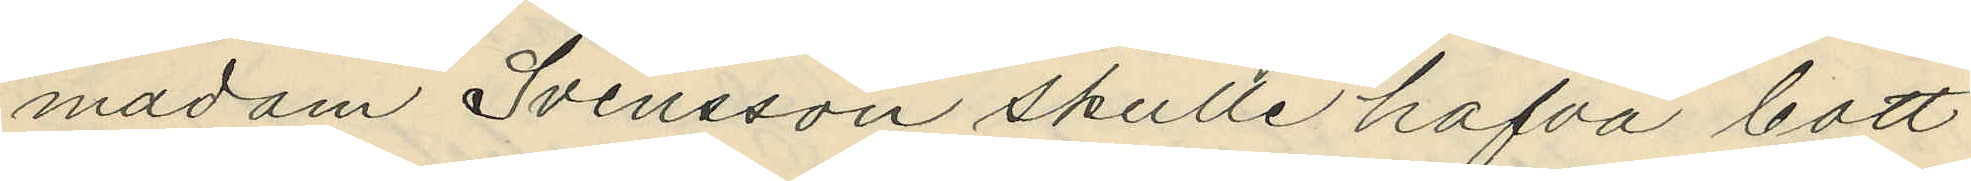madam Svensson skulle hafva bott
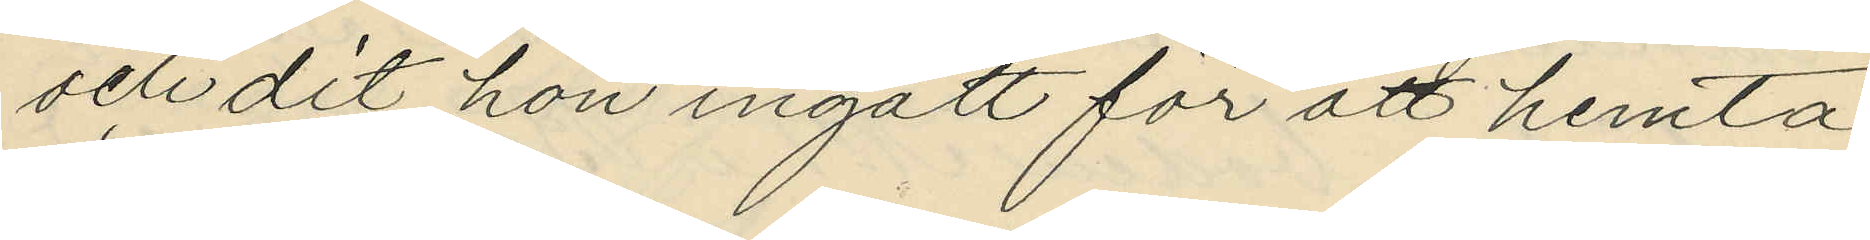och dit hon ingått för att hemta
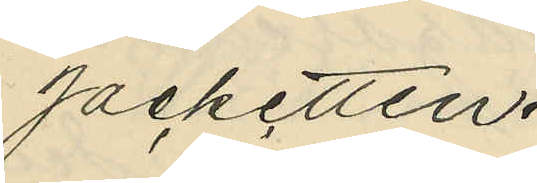jacketten.
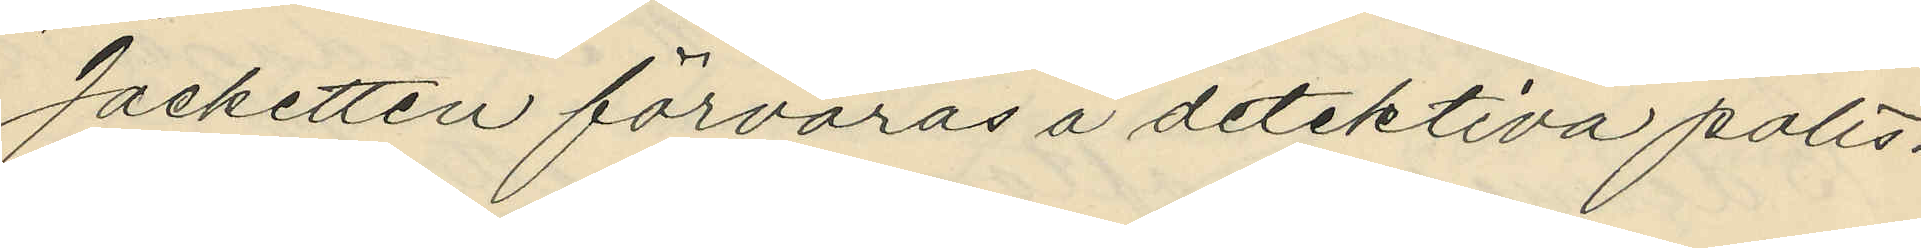Jacketten förvaras å detektiva polis¬
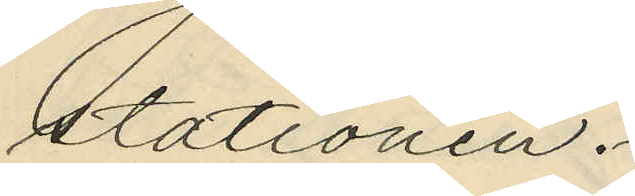stationen.
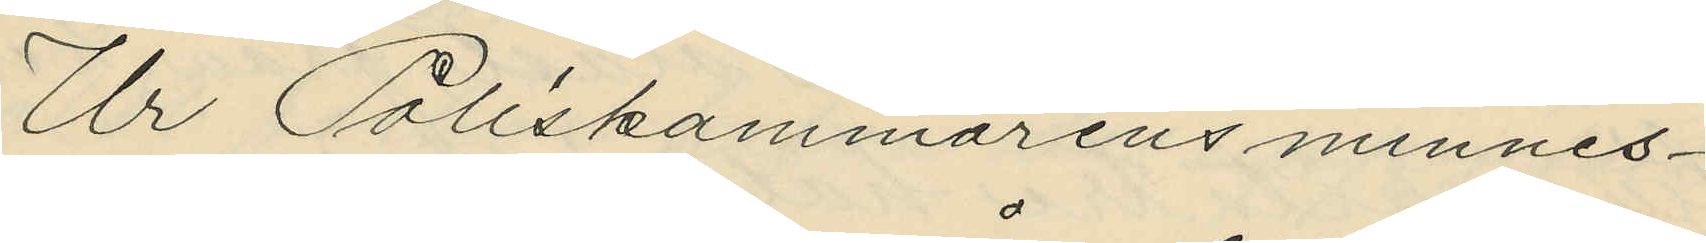Ur Poliskammarens minnes¬
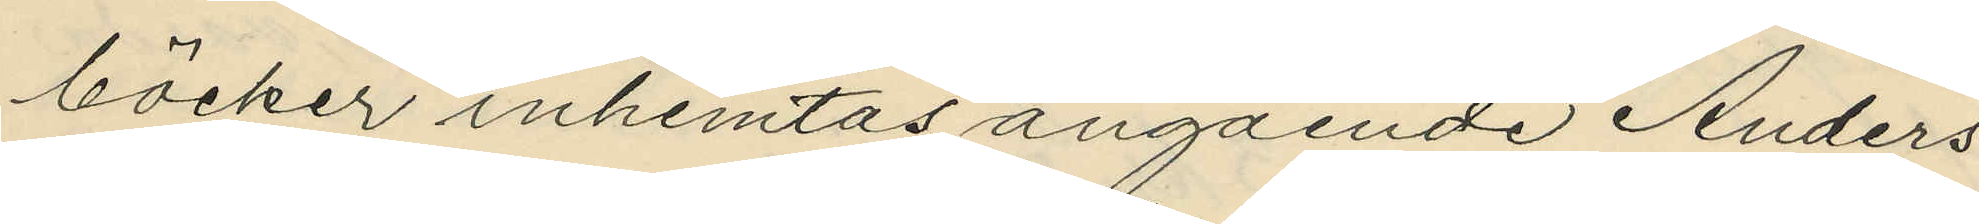böcker inhemtas angående Anders
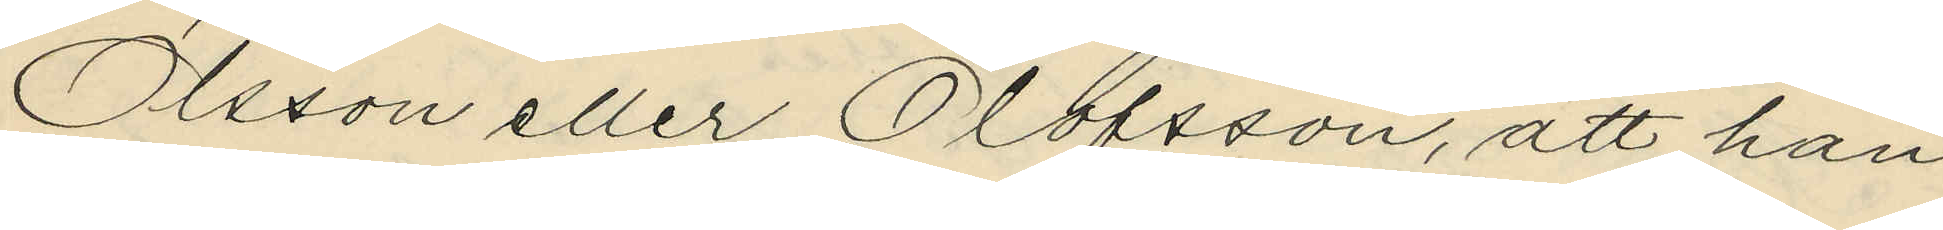Olsson eller Olofsson, att han
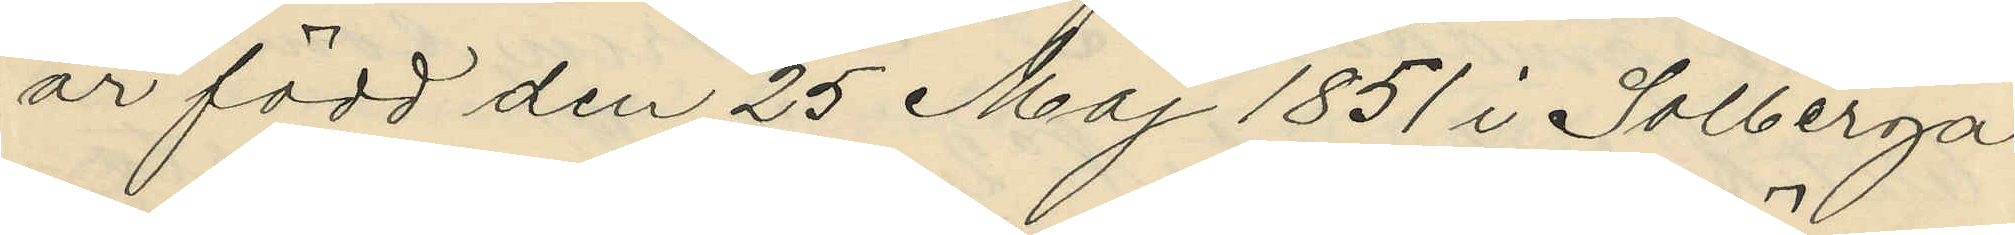är född den 25 Maj 1851 i Solberga
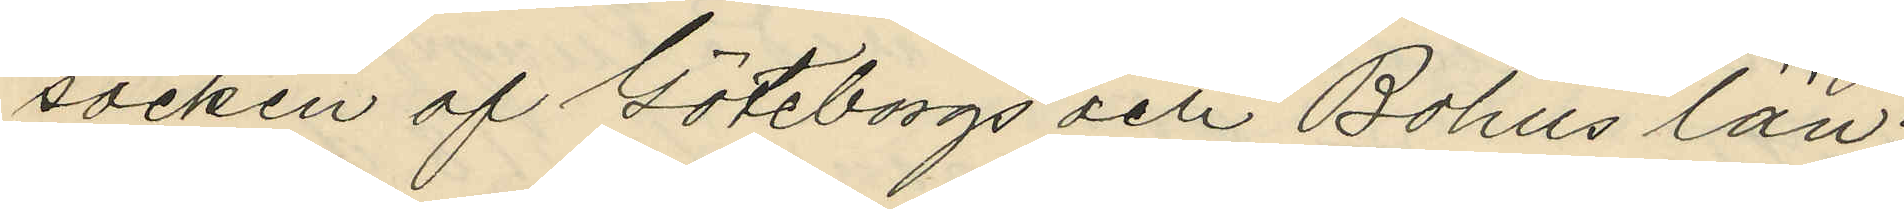socken af Göteborgs och Bohus län;
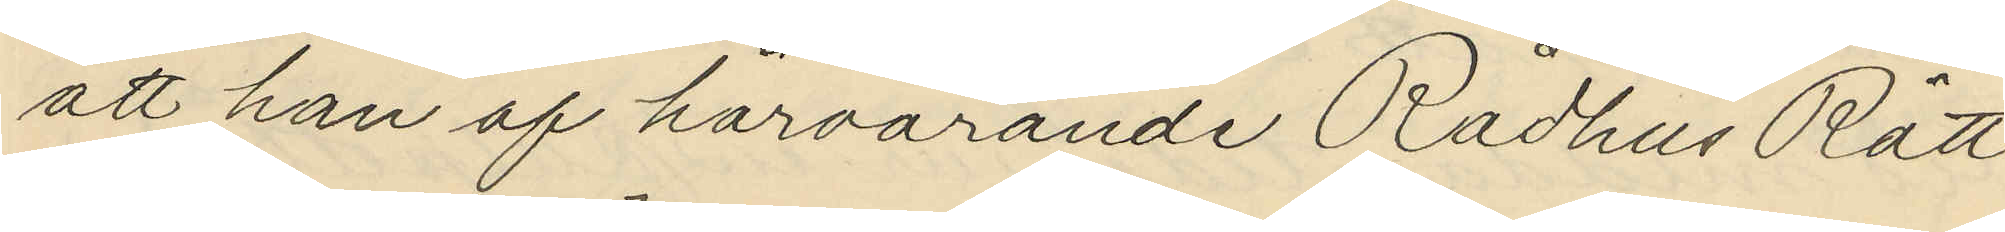att han af härvarande Rådhus Rätt
